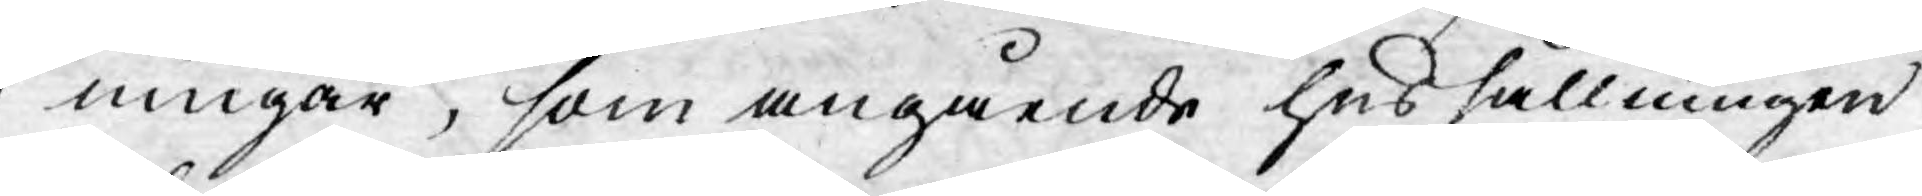ningar, som angående hushållningen
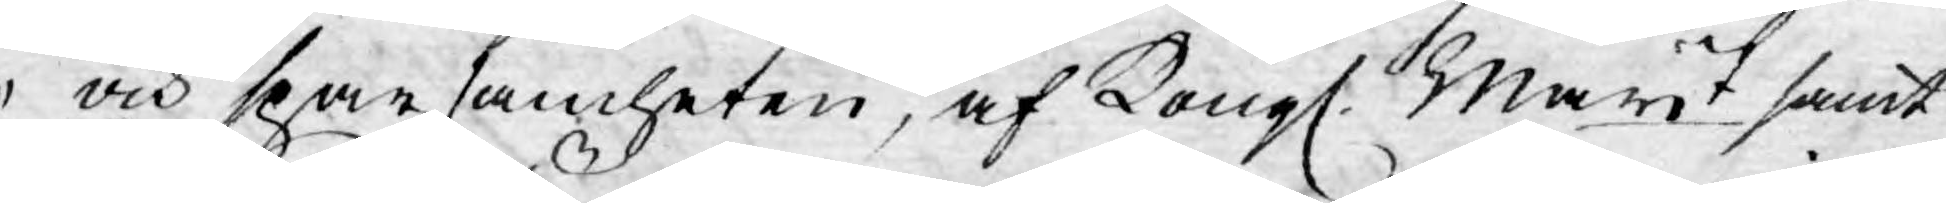och sparsamheten, af Kongl. Mayt samt
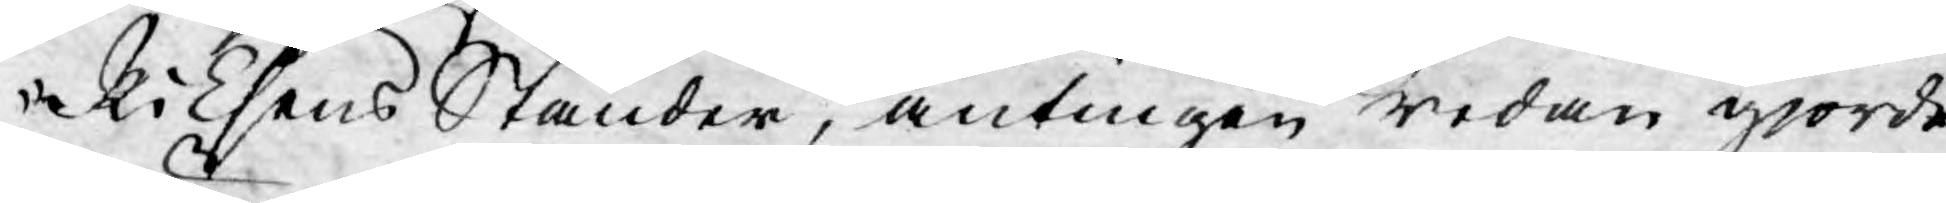Riksens Ständer, antingen redan gjorde
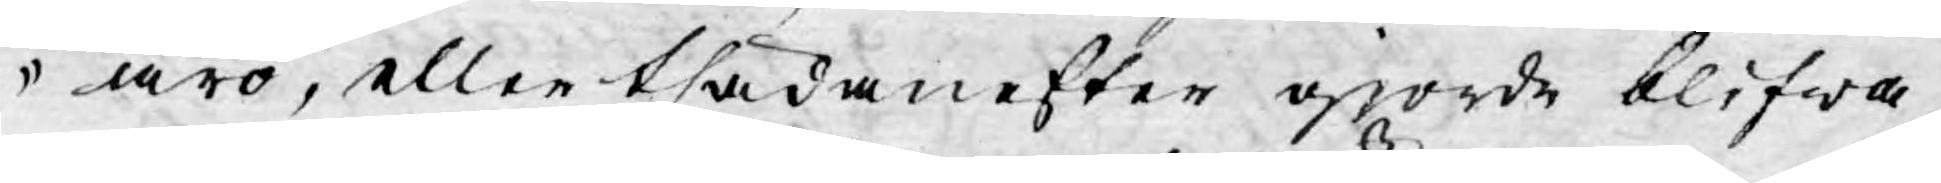äro, eller thädanefter gjorde blifwa
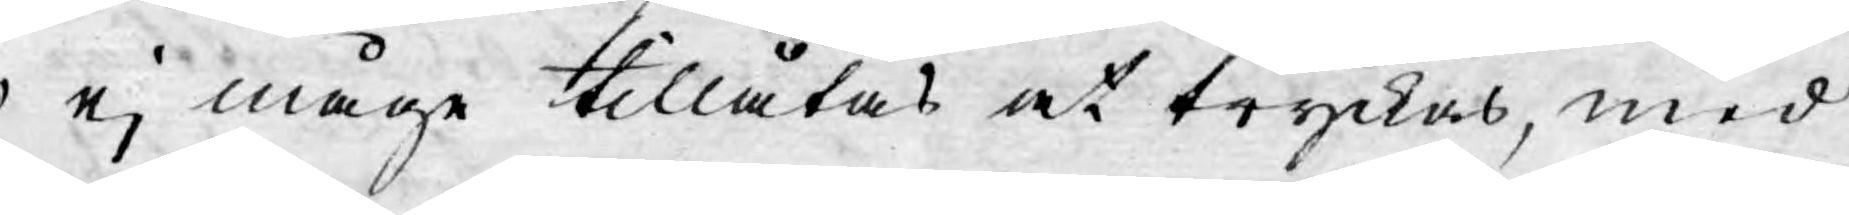ej måge tillåtas at tryckas, med
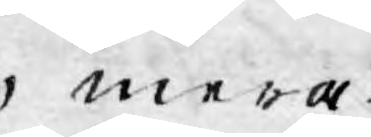mera.
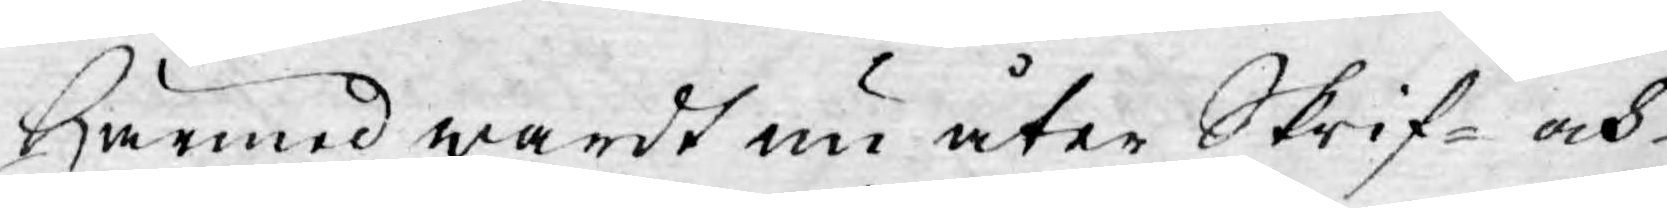Härmed wardt nu åter Skrif- och
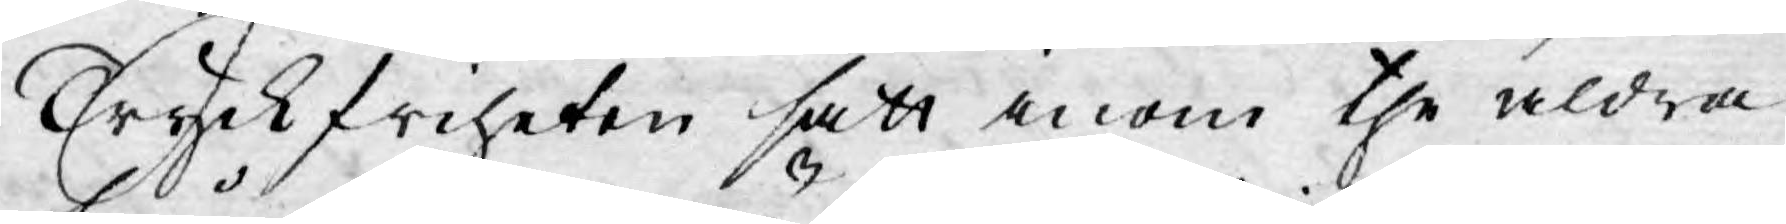Tryckfriheten satt inom the aldra
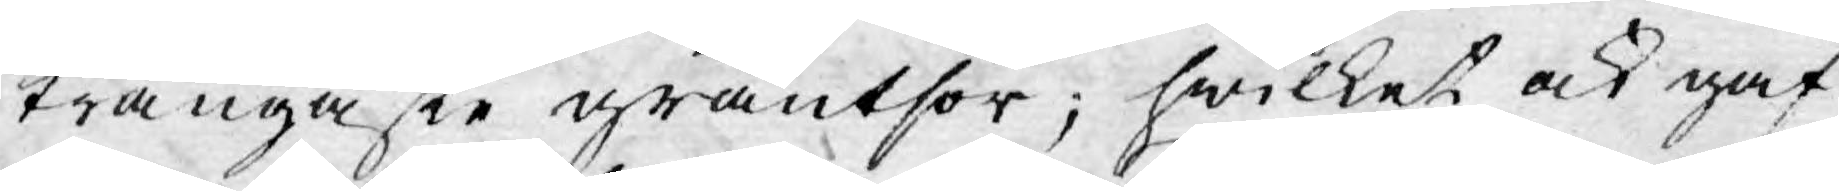trångaste gräntsor; hwilket ock gaf
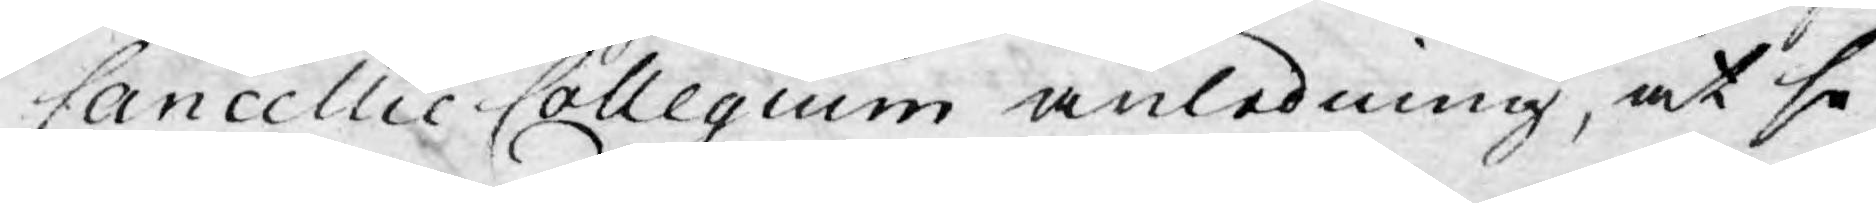Cancellie Collegium anledning, at se¬
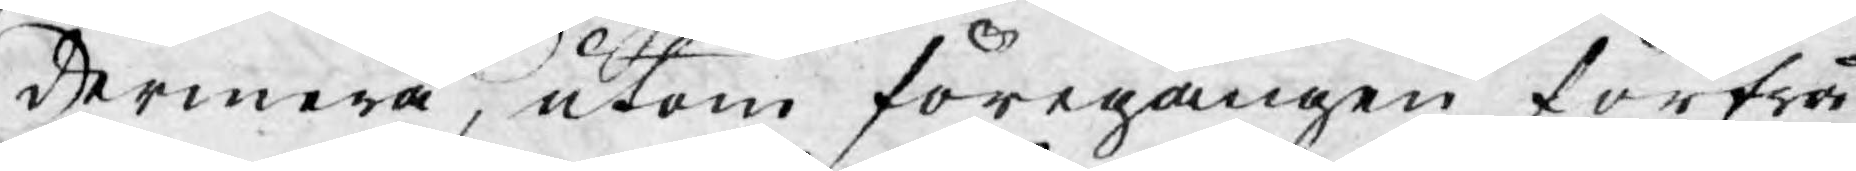dermera, utom föregången förfrå¬
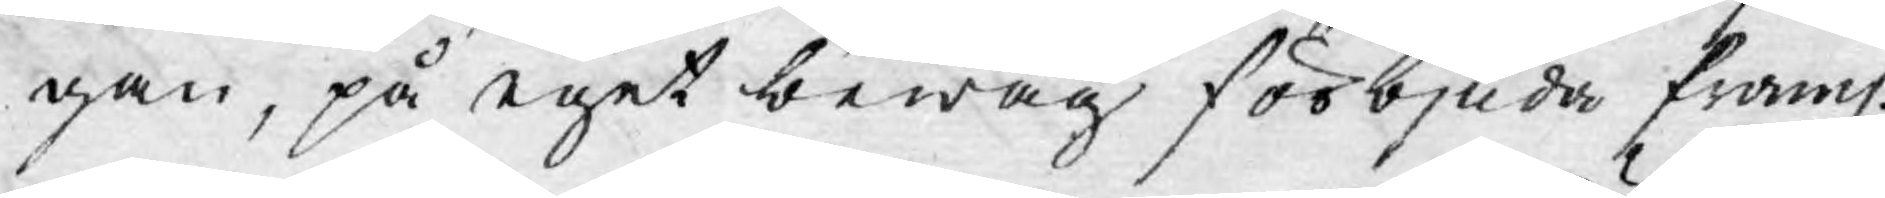gan, på eget bewåg förbjuda framl.
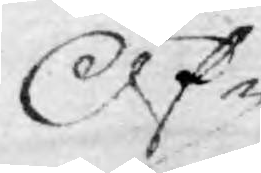Öf¬
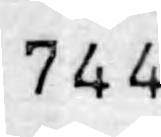744
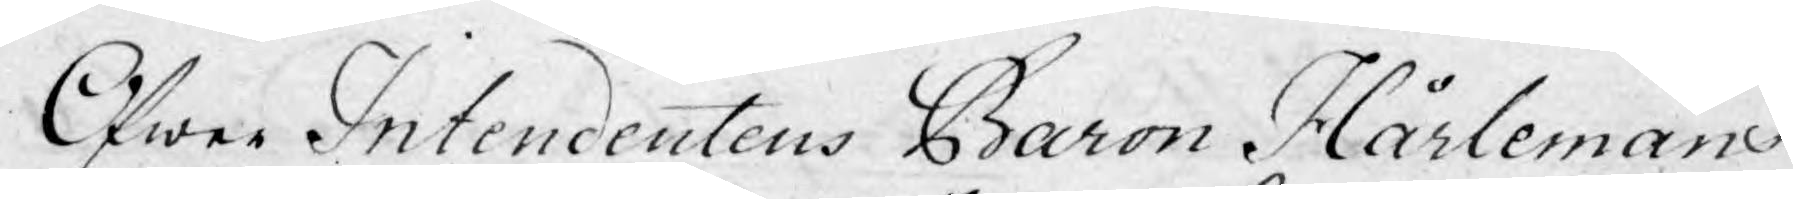Öfwer Intendentens Baron Hårlemans
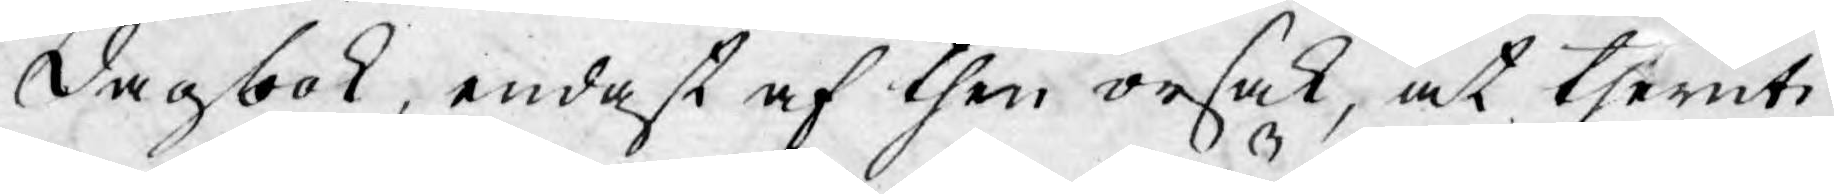dagbok, endast af then orsak, at theruti
